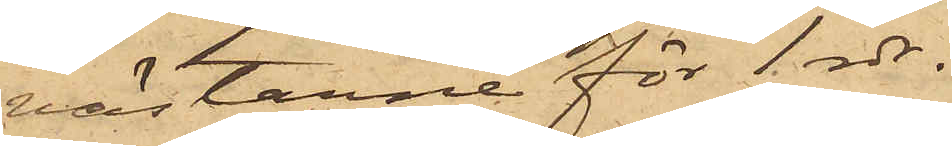västarne för 1 rdr.
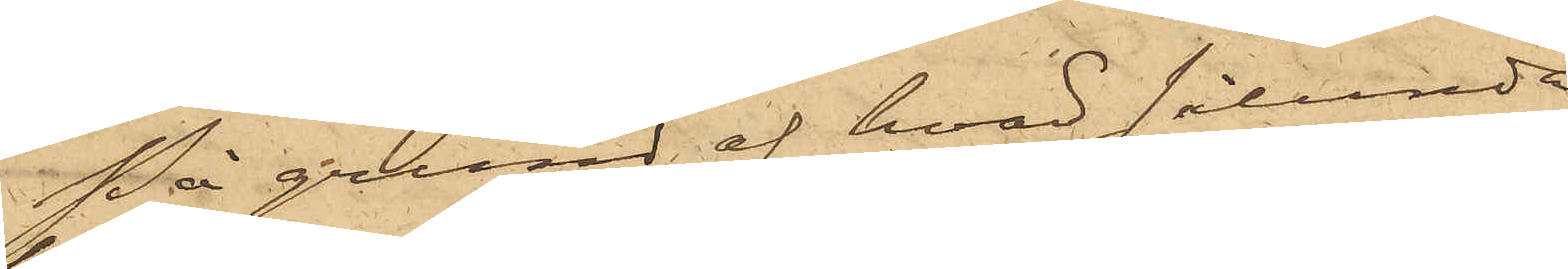På grund af hvad sålunda
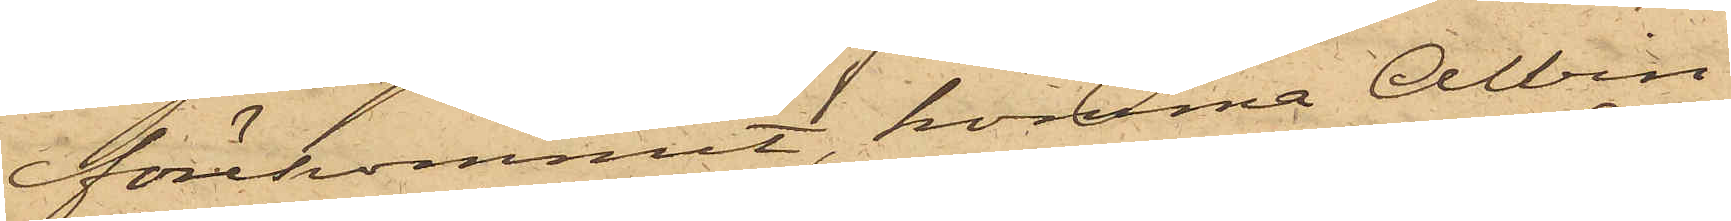förekommit, komma Albin
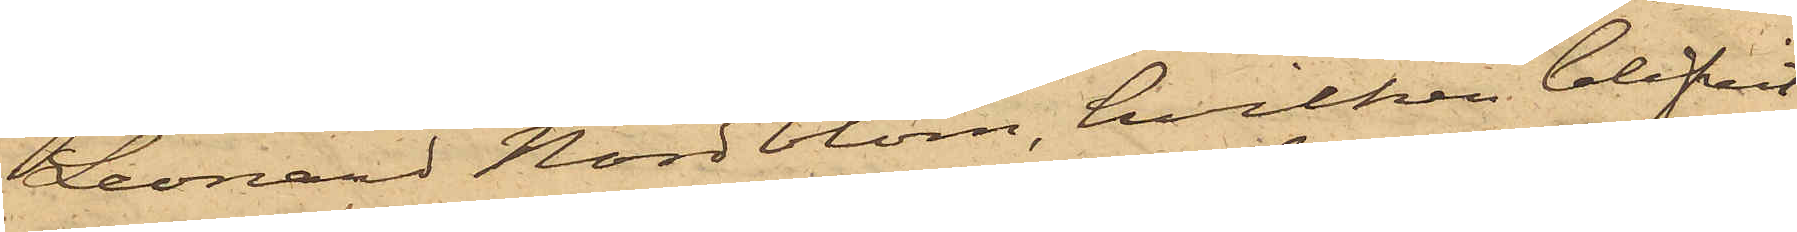Leonard Nordblom, hvilken blifvit
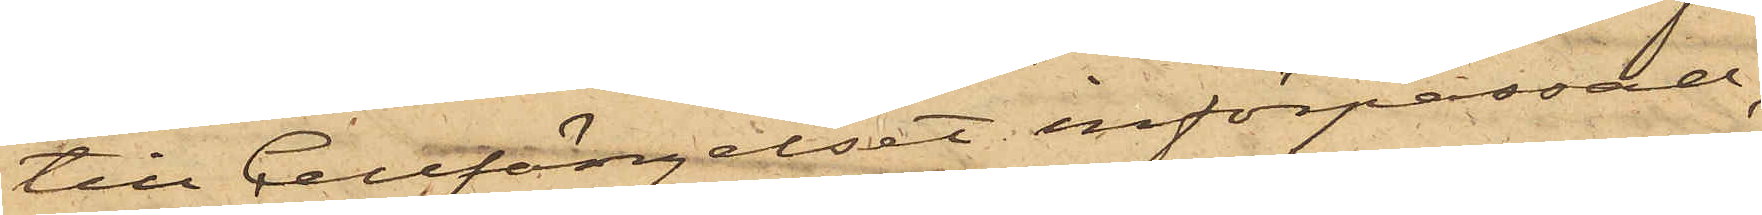till Cellfängelset införpassad,
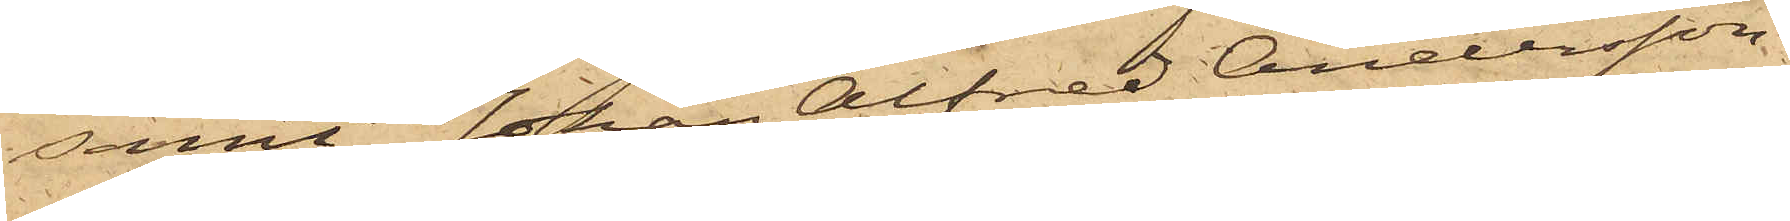samt Johan Alfred Andersson
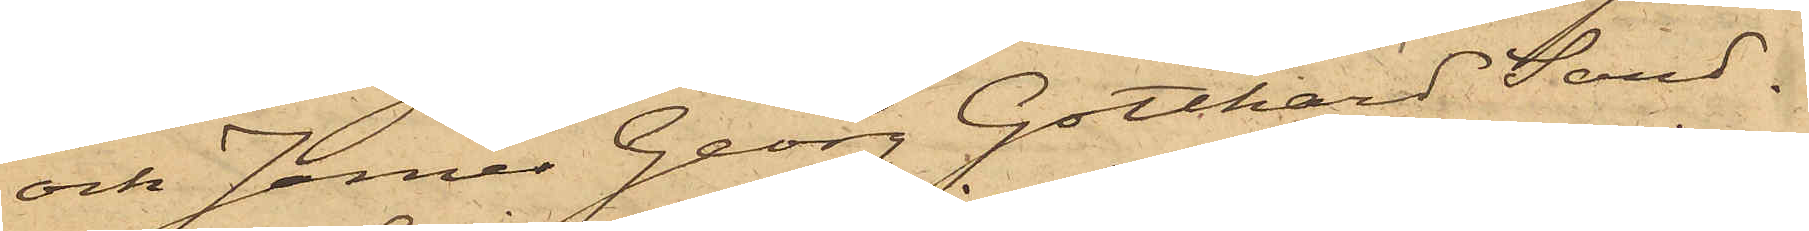och James Georg Gotthard Sand¬
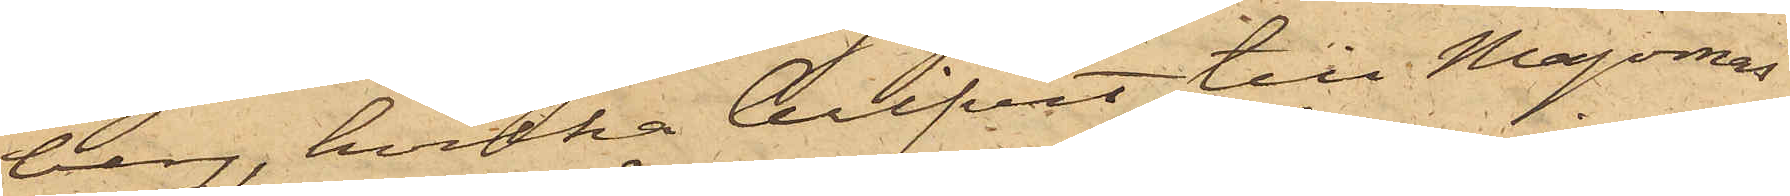berg, hvilka blifvit till Majornas
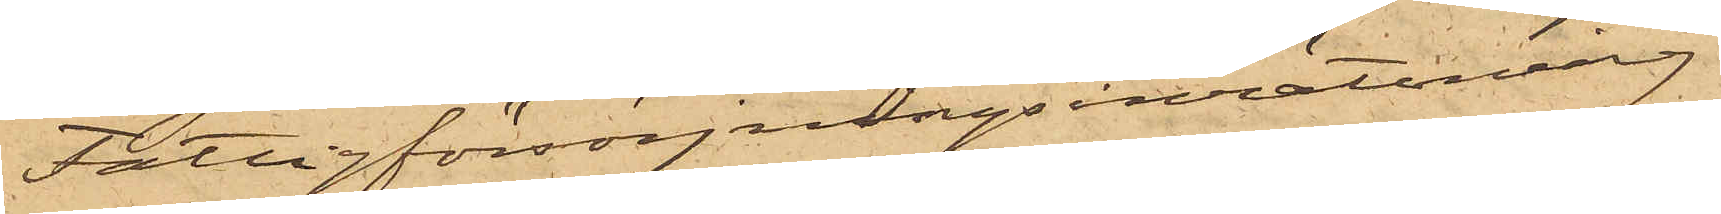Fattigförsörjningsinrättning
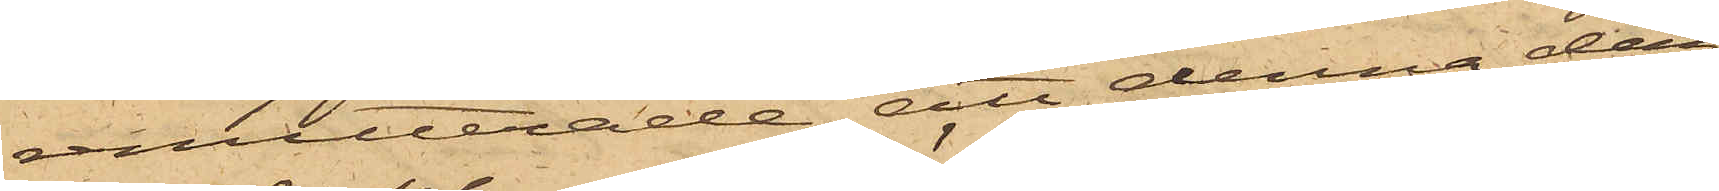remitterade, att denna dag
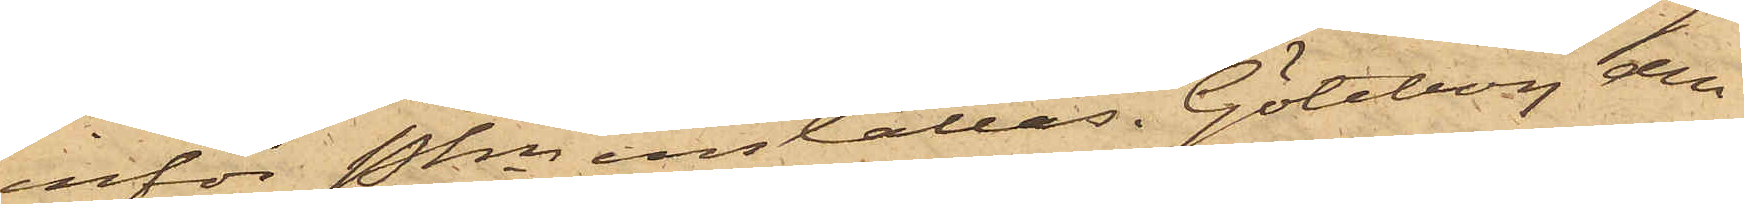inför Pkn inställas. Göteborg den
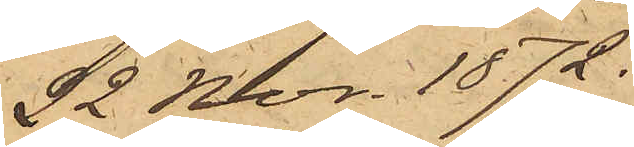22 Nov. 1872.
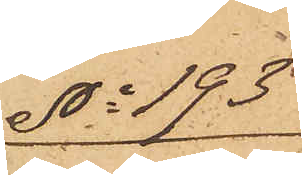No 193
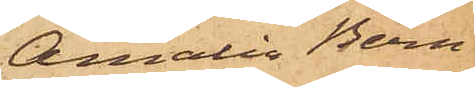Amalia Bern¬
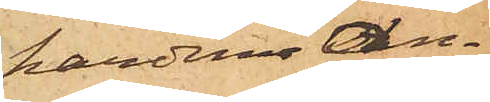hardina An¬
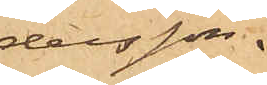dersson.
